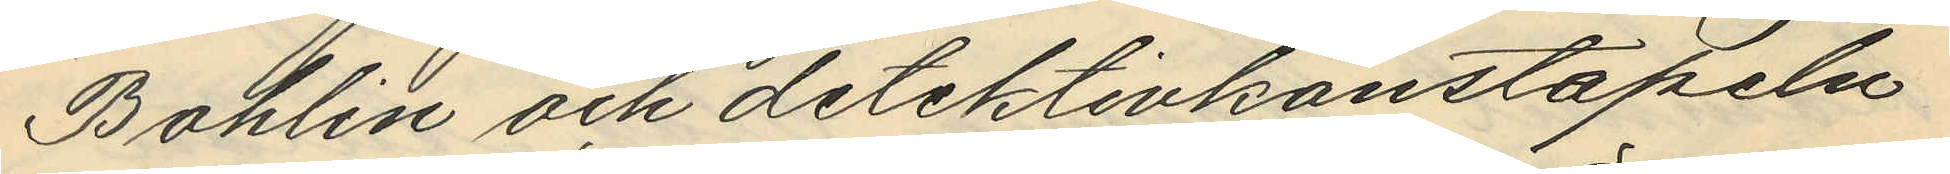Bohlin och detektivkonstapeln
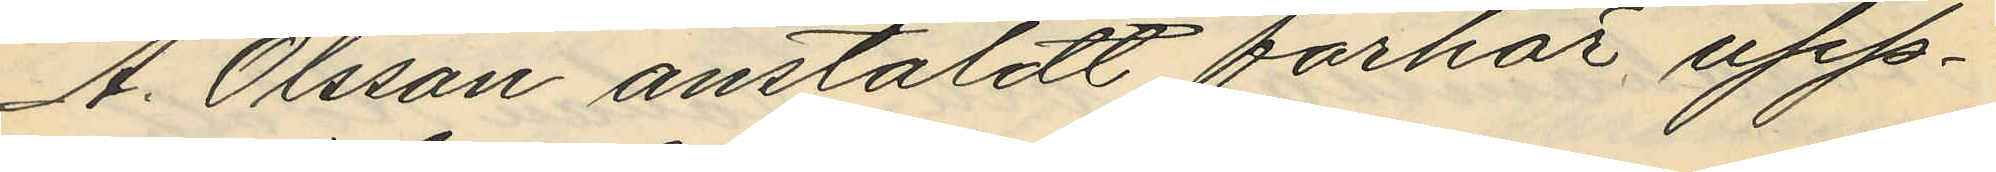A. Olsson anstäldt förhör upp¬
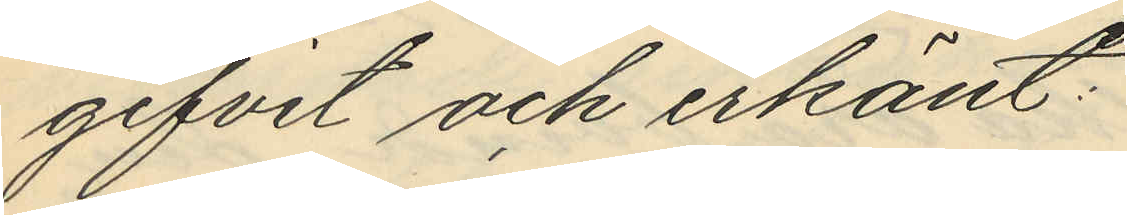gifvit och erkänt:
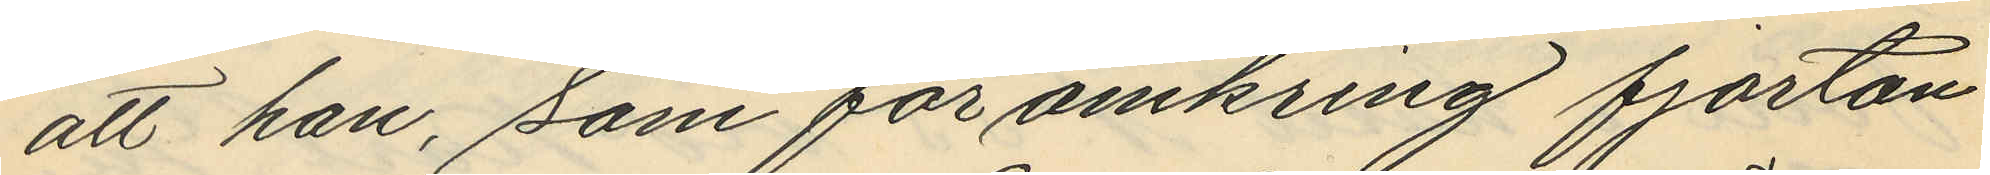att han, som för omkring fjorton
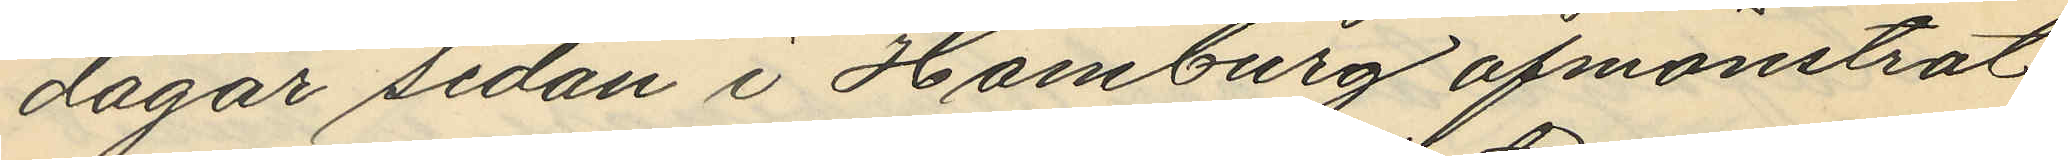dagar sedan i Hamburg afmönstrat
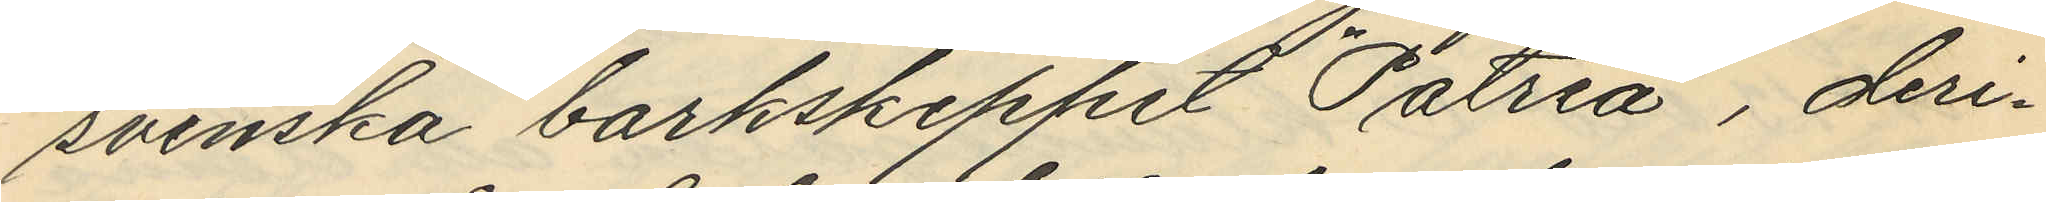svenska barkskeppet "Patrea", deri¬
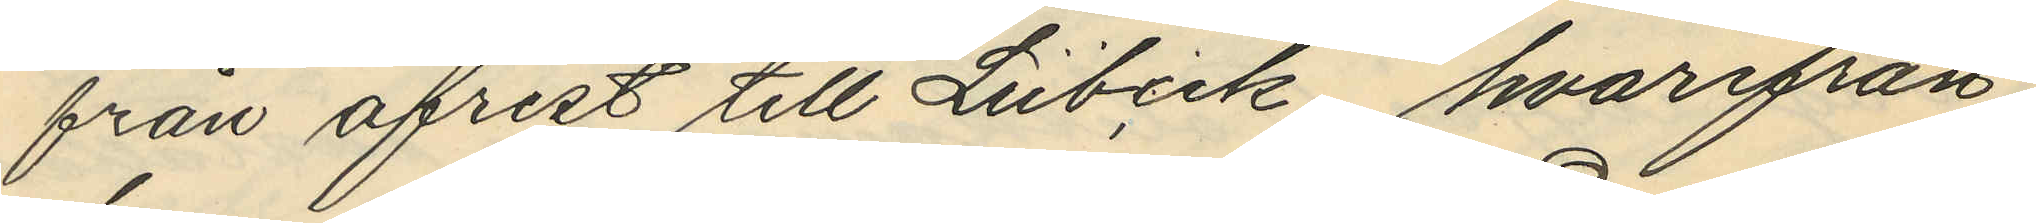från afrest till Lubeck, hvarifrån
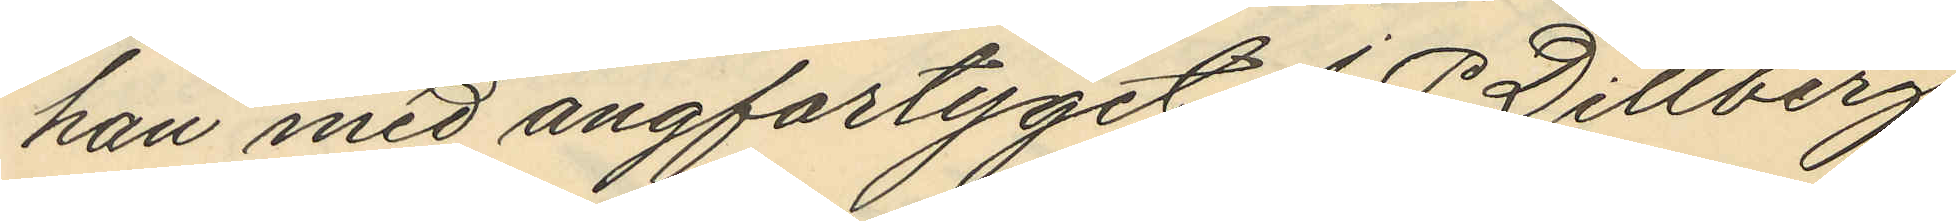han med ångfartyget J. P. Dillberg
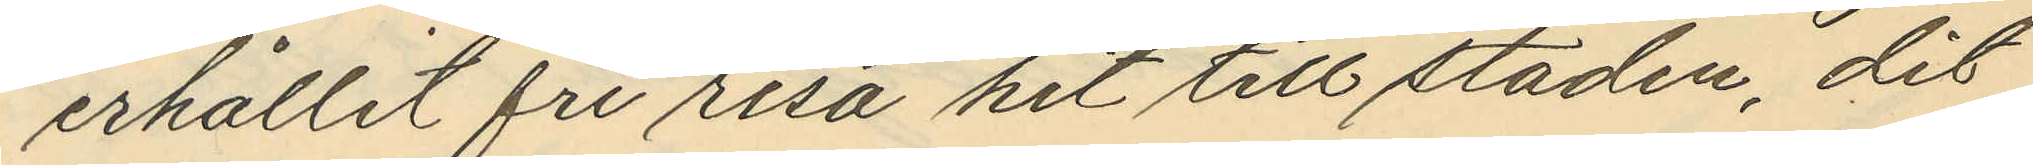erhållit fri resa hit till staden, dit
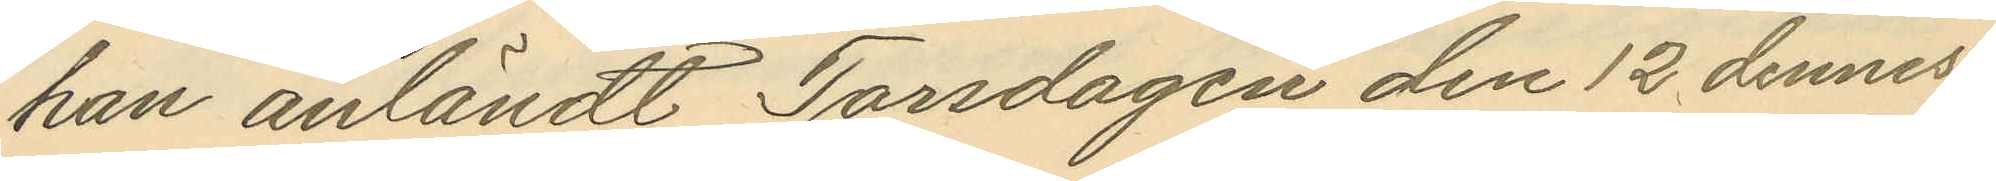han anländt Torsdagen den 12 dennes
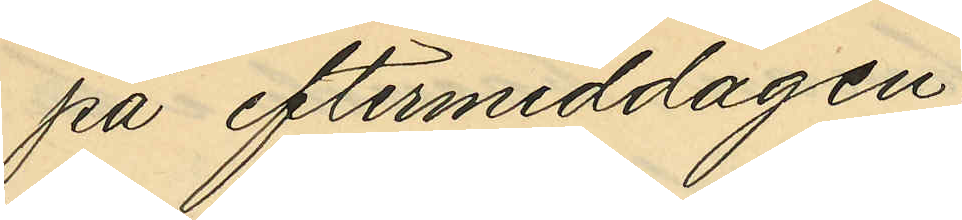på eftermiddagen;
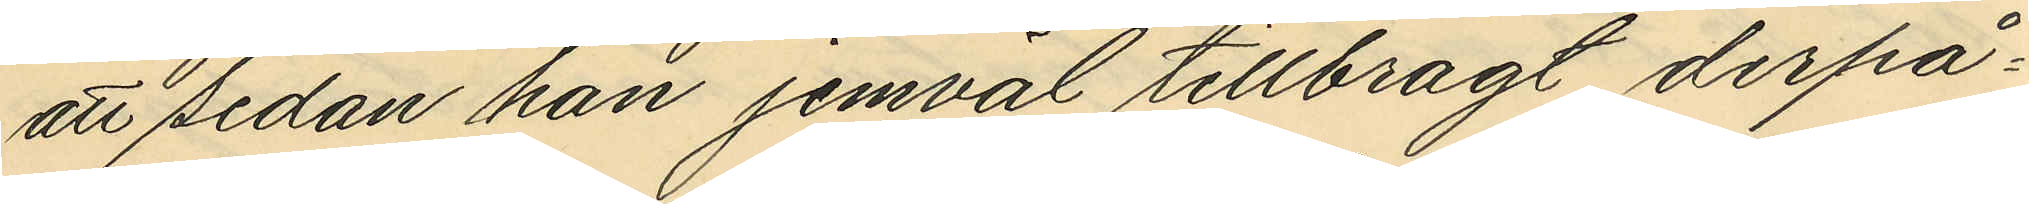att sedan han jemväl tillbragt derpå¬
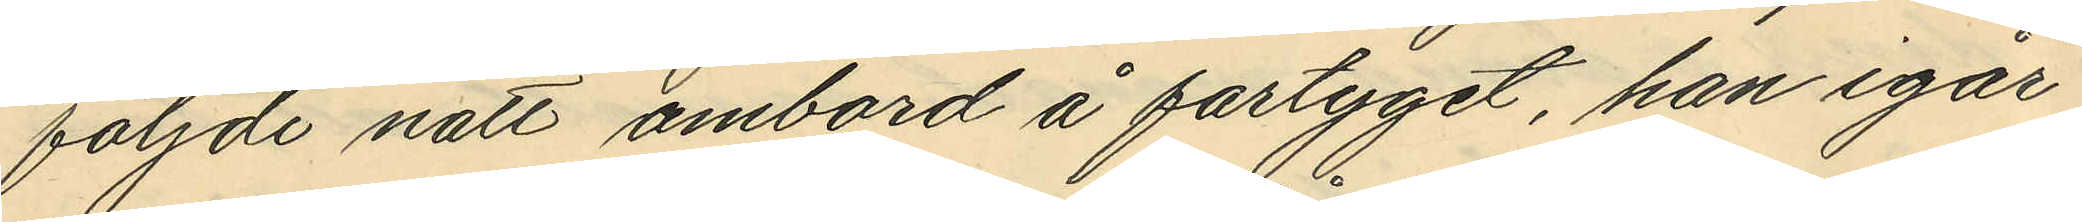följde natt ombord å fartyget, han igår
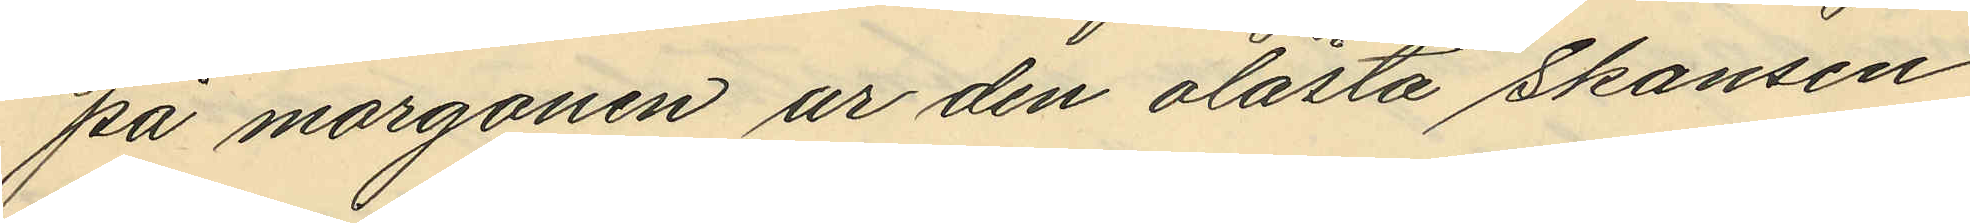på morgonen ur den olåsta Skansen
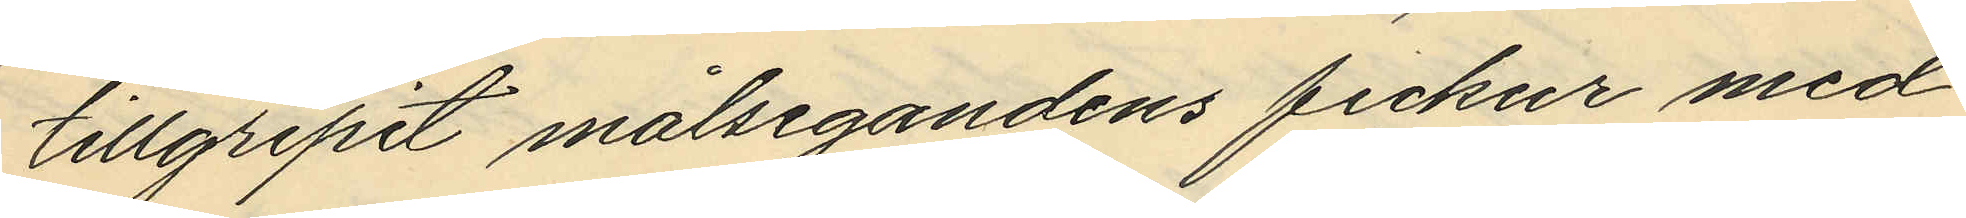tillgripit målsegandens fickur med
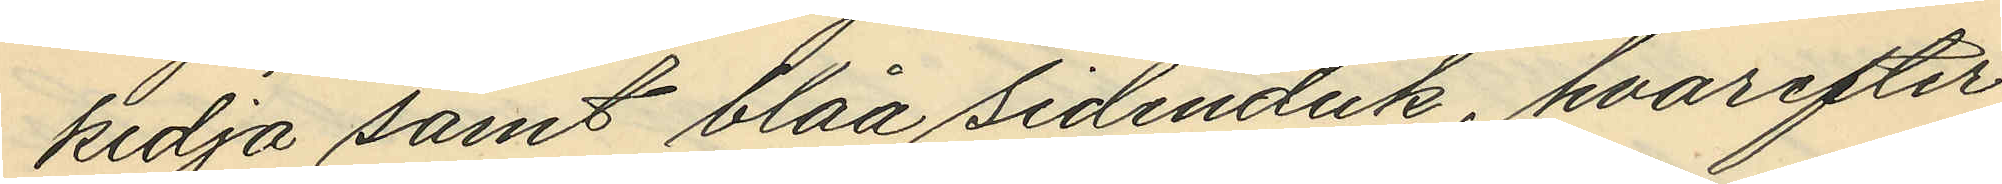kedja samt blåa sidenduk, hvarefter
